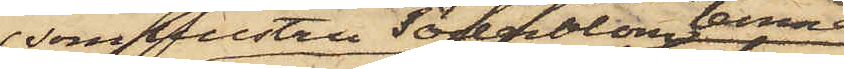som hustru Söderblom lemnat
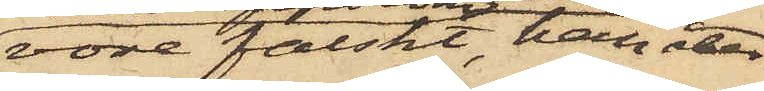vore falskt, han åter¬
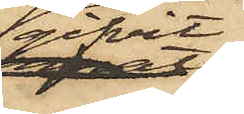gifvit
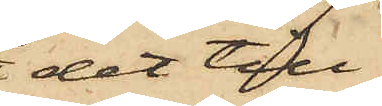det till
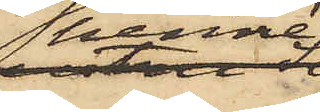henne;
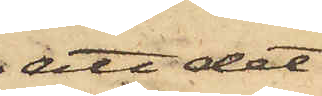att det
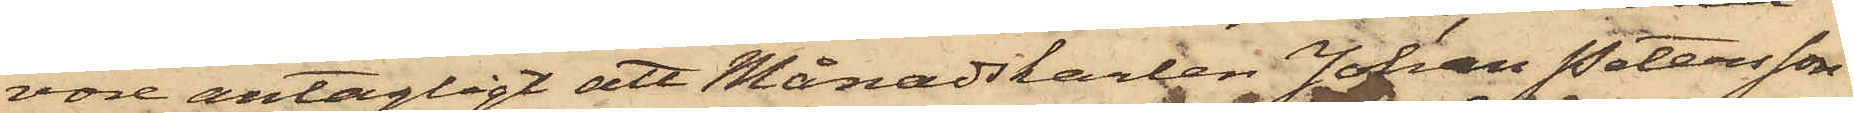vore antagligt att Månadskarlen Johan Petersson
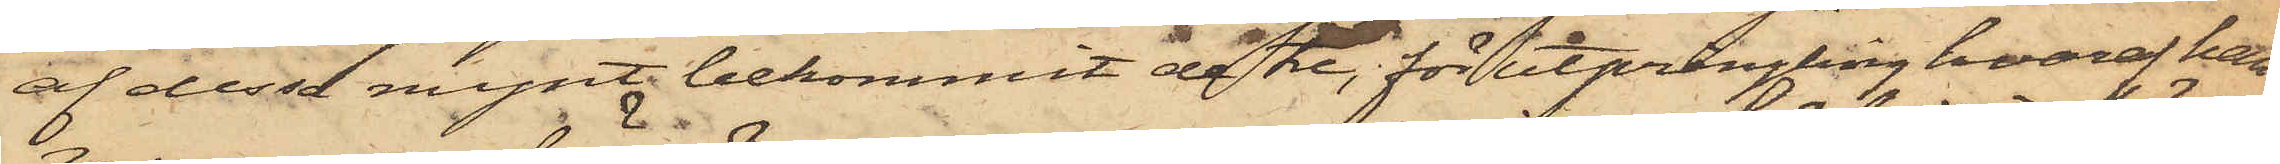af dessa mynt bekommit de tre, för utprångling hvaraf han
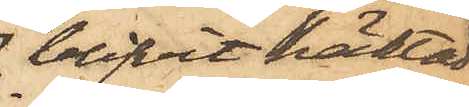blifvit häktad
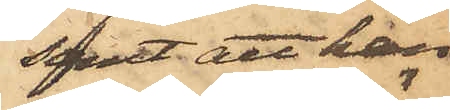samt att han
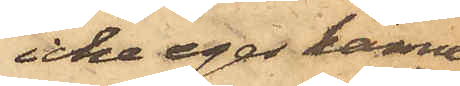icke eger känne¬
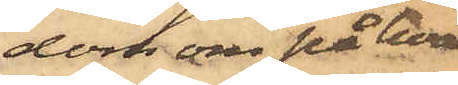dom om på hvad
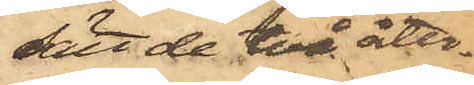sätt de två åter¬
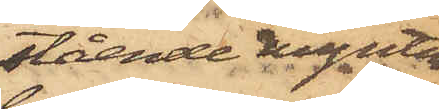stående mynten
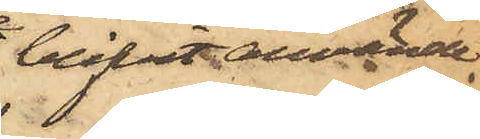blifvit använde
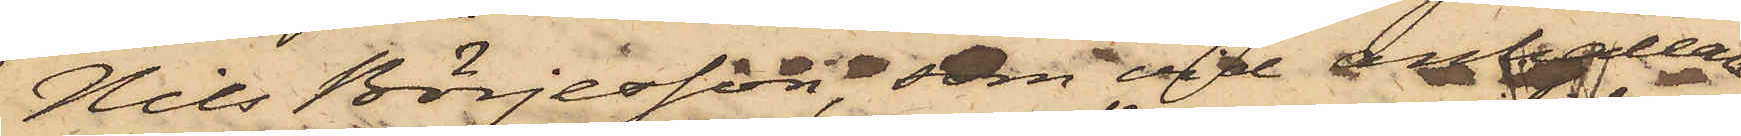Nils Börjesson som vid anhållan¬
